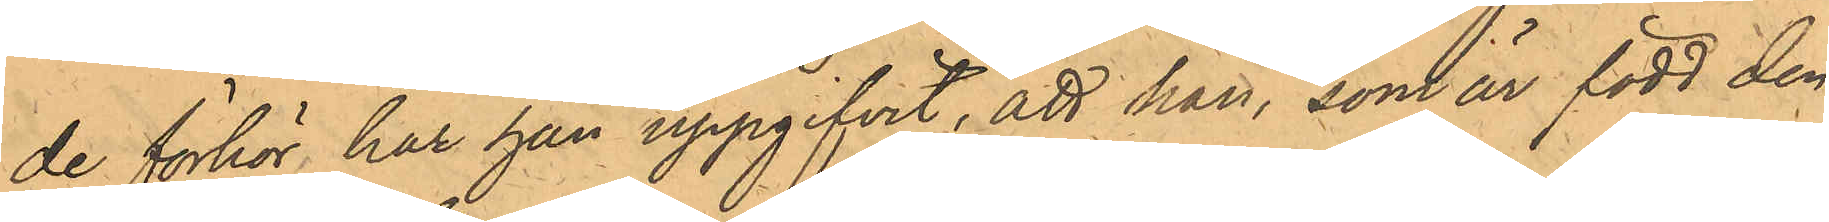de förhör, har han uppgifvit, att han, som är född den
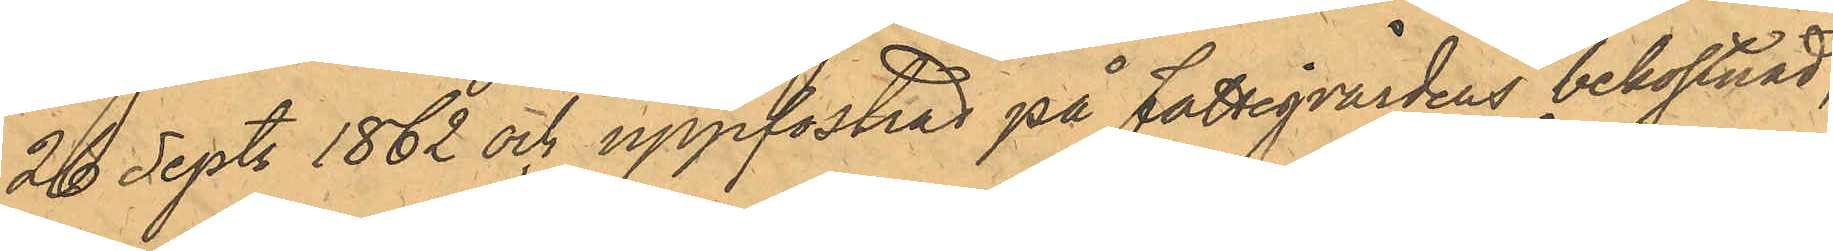26 Sept. 1862 och uppfostrad på Fattigvårdens bekostnad,
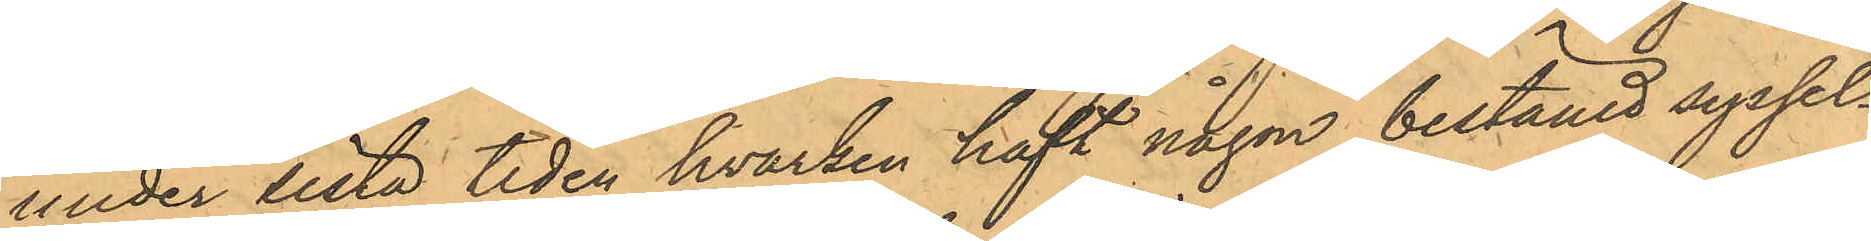under sista tiden hvarken haft någon bestämd syssel¬
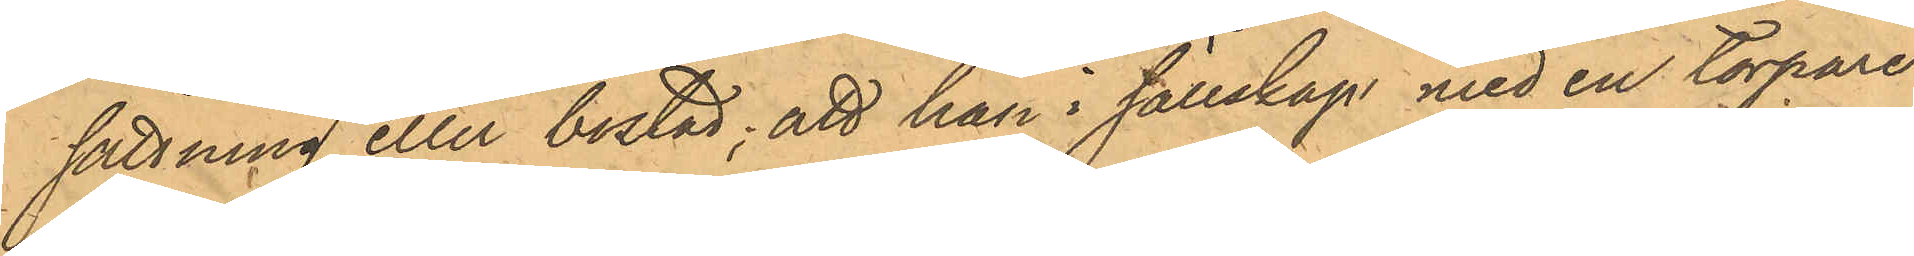sättning eller bostad; att han i sällskap med en torpare
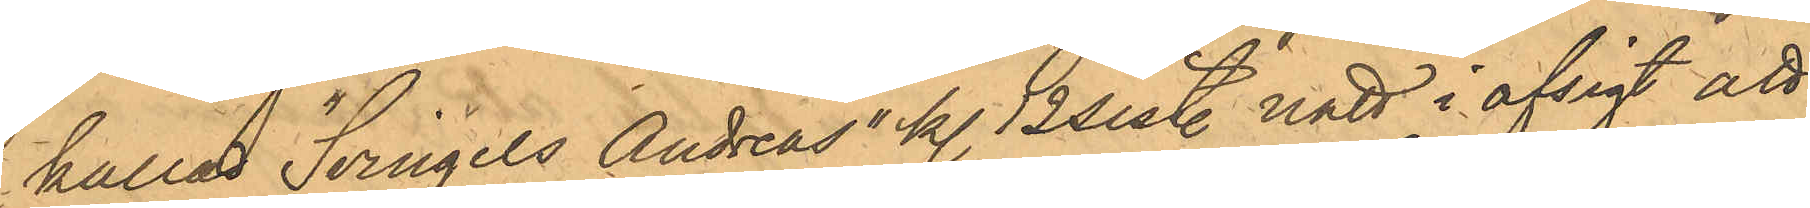kallad "Svingels Andreas" kl. 12 sist. natt i afsigt att
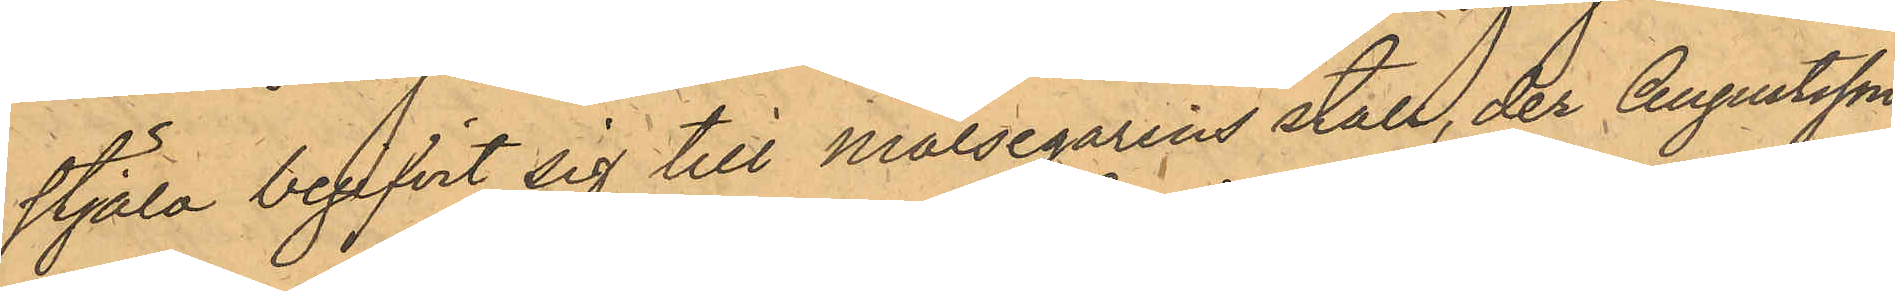stjäla begifvit sig till Målsegarens stall, der Augustsson
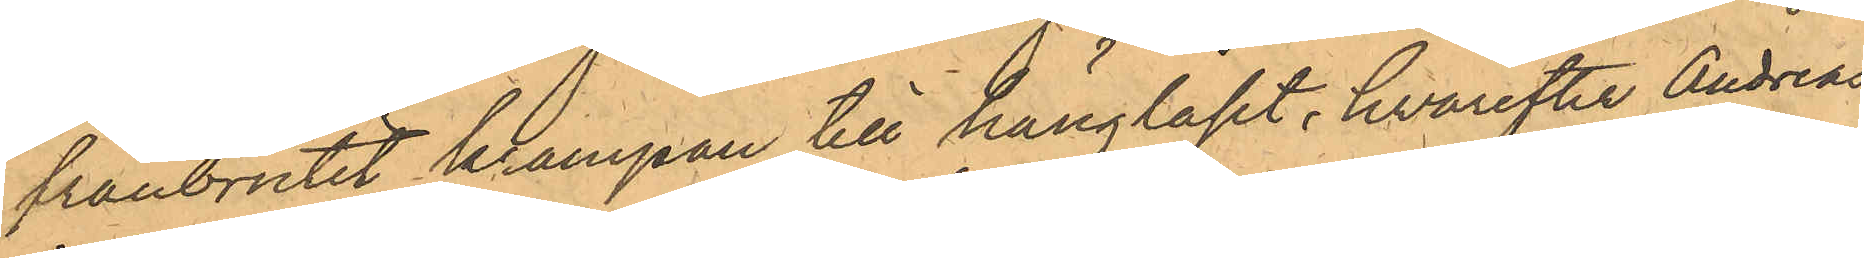frånbrutit krampan till hänglåset, hvarefter Andreas
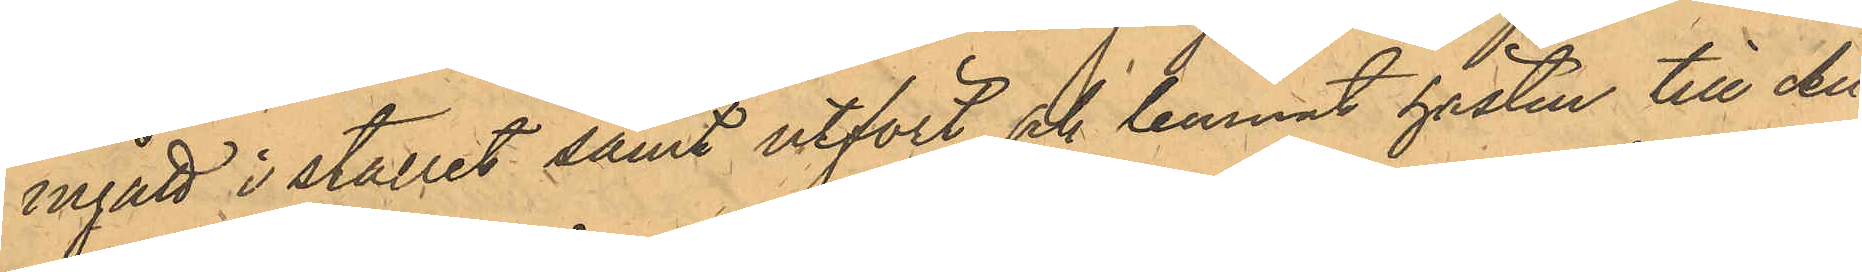ingått i stallet samt utfört och lemnat hästen till Au¬
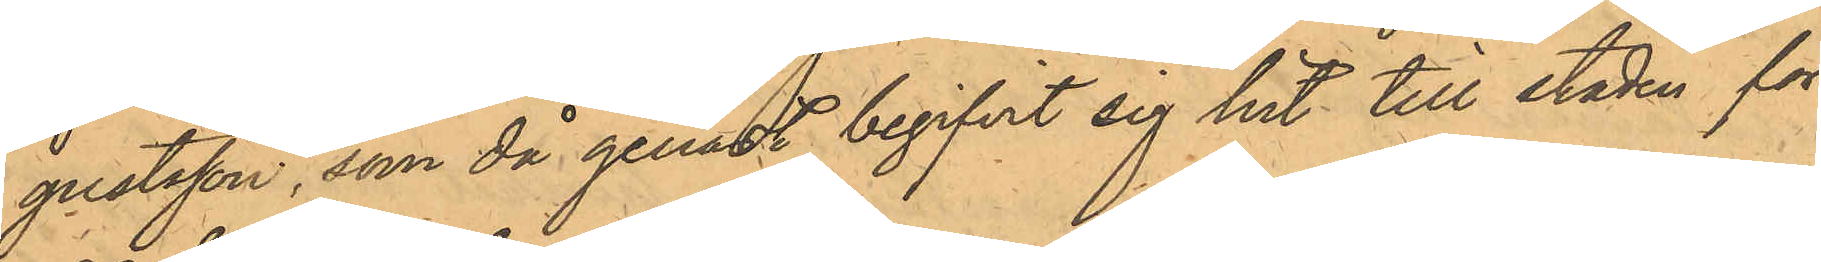gustsson, som då genast begifvit sig hit till staden för
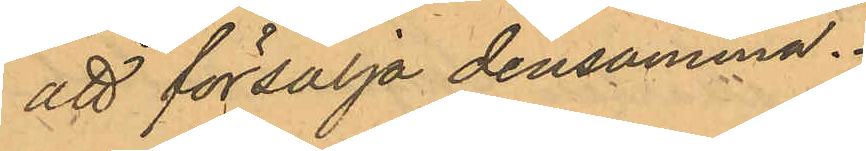att försälja densamma.
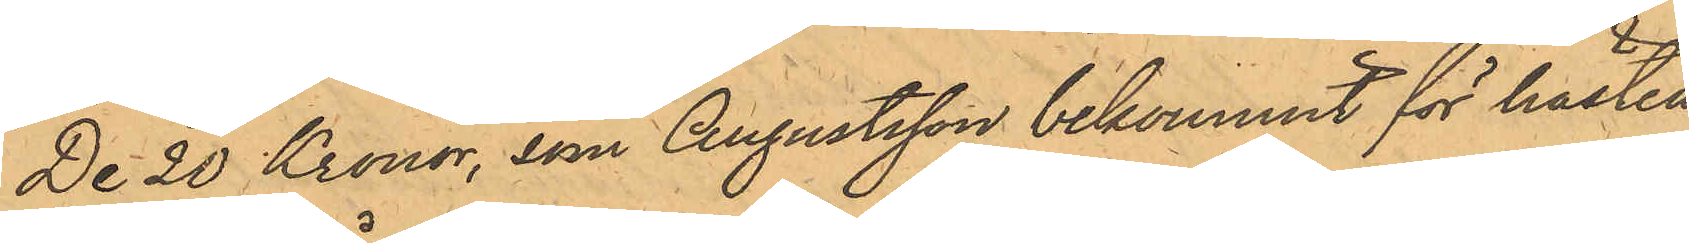De 20 Kronor, som Augustsson bekommit för hästen
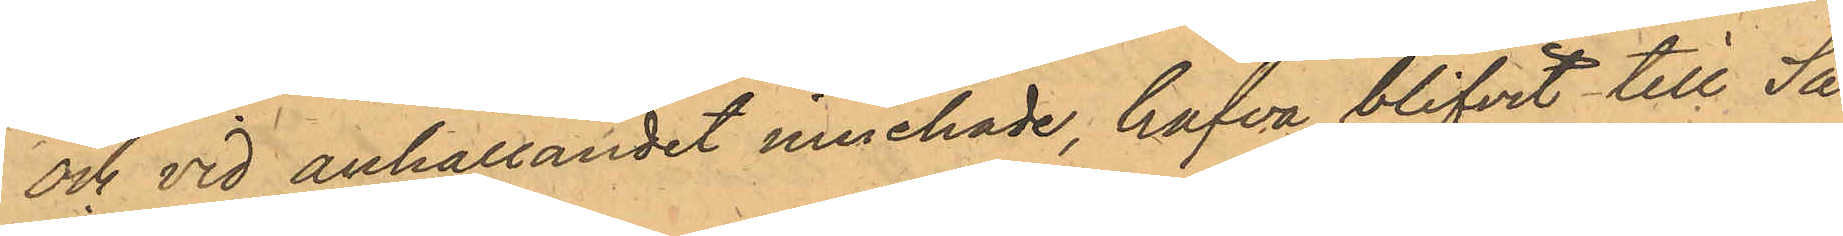och vid anhållandet innehade, hafva blivit till Sa¬
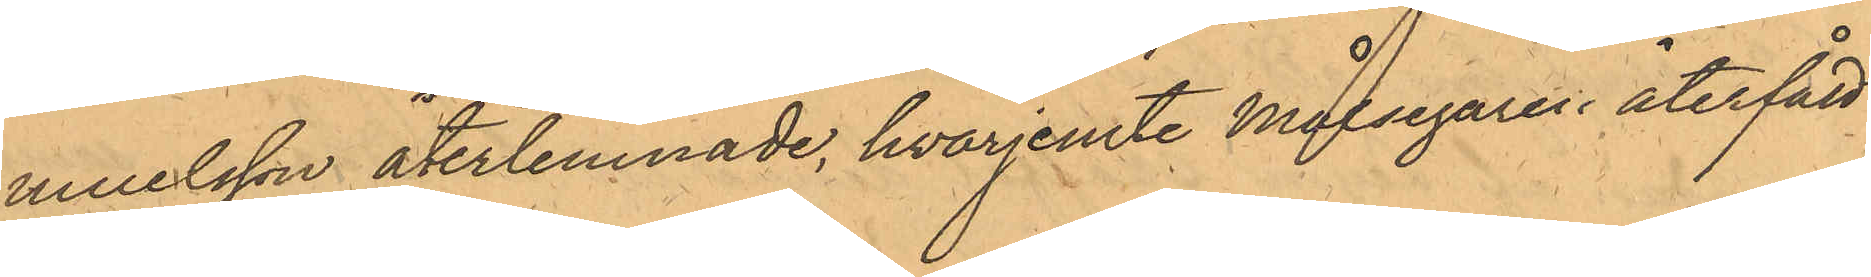muelsson återlemnade, hvarjemte Målsegaren återfått
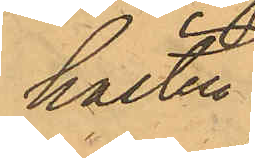hästen.
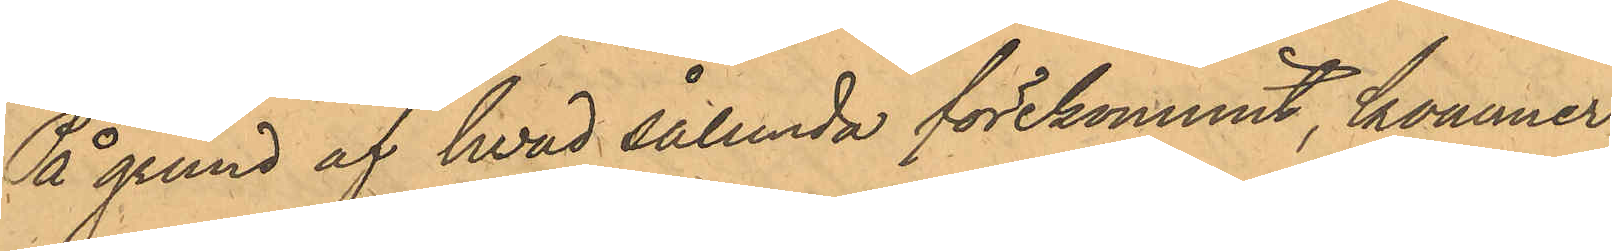På grund af hvad sålunda förekommit, kommer
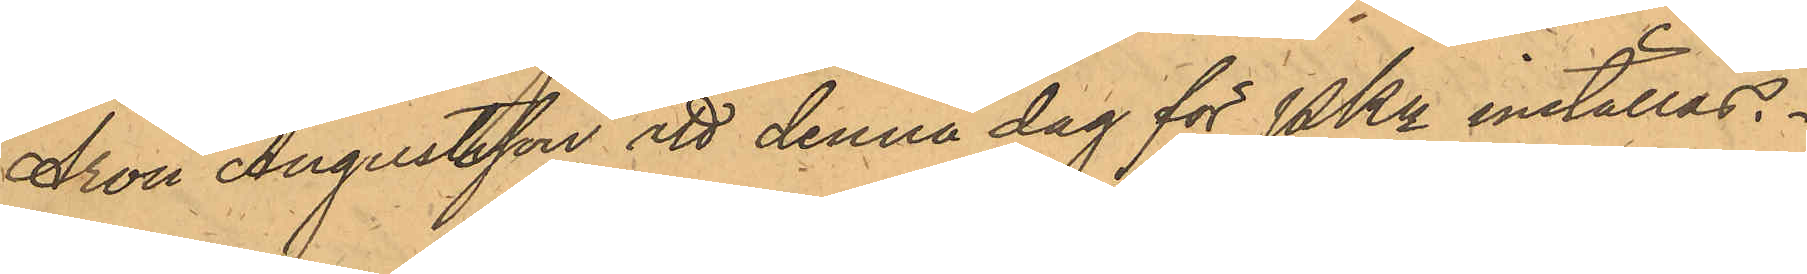Aron Augustsson att denna dag för PKn inställas.
